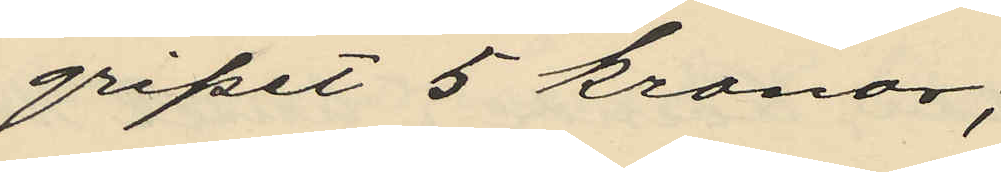gripet 5 kronor;
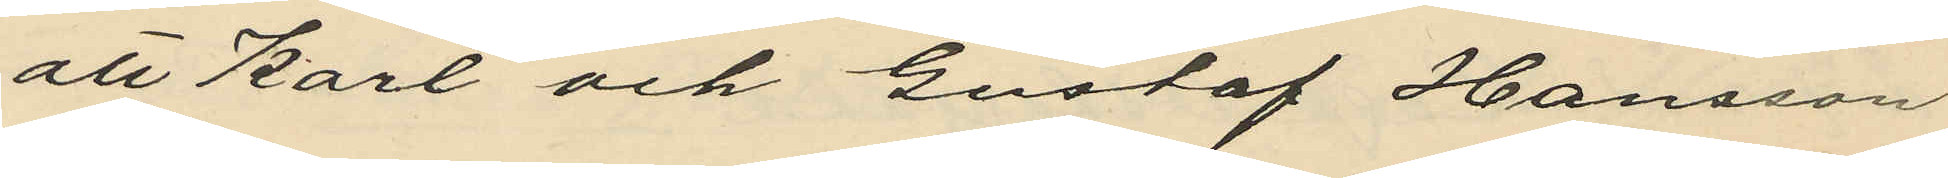att Karl och Gustaf Hansson
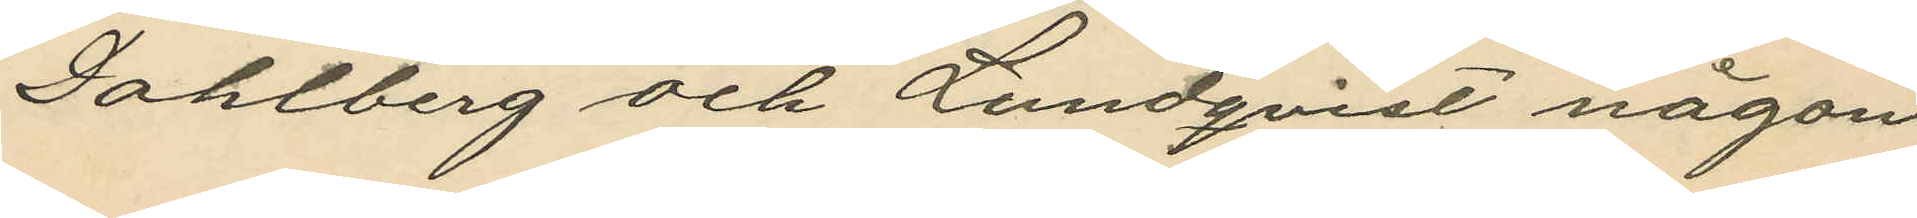Dahlberg och Lundqvist någon
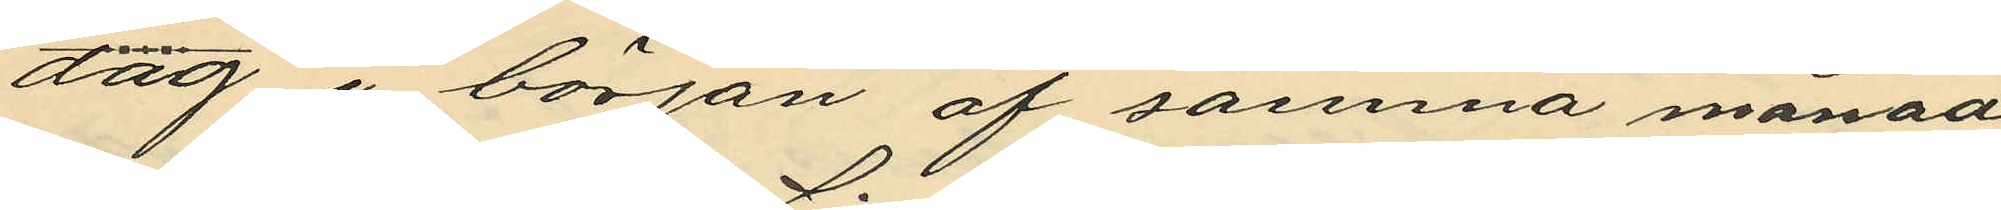dag i början af samma månad
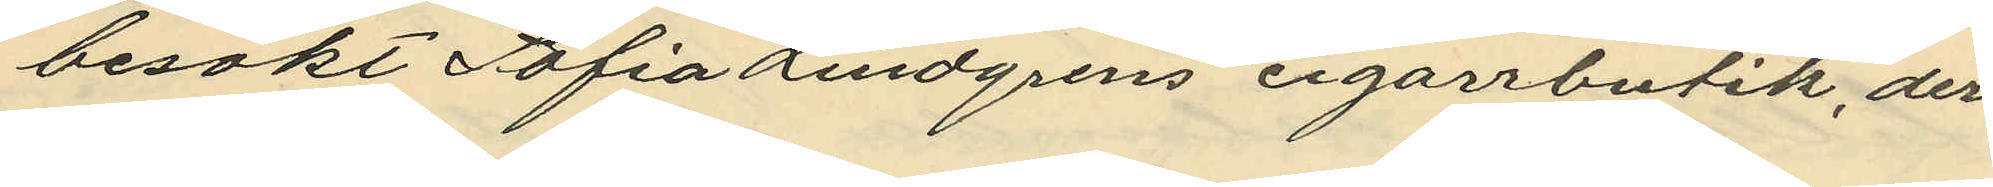besökt Sofia Lindgrens cigarrbutik, der
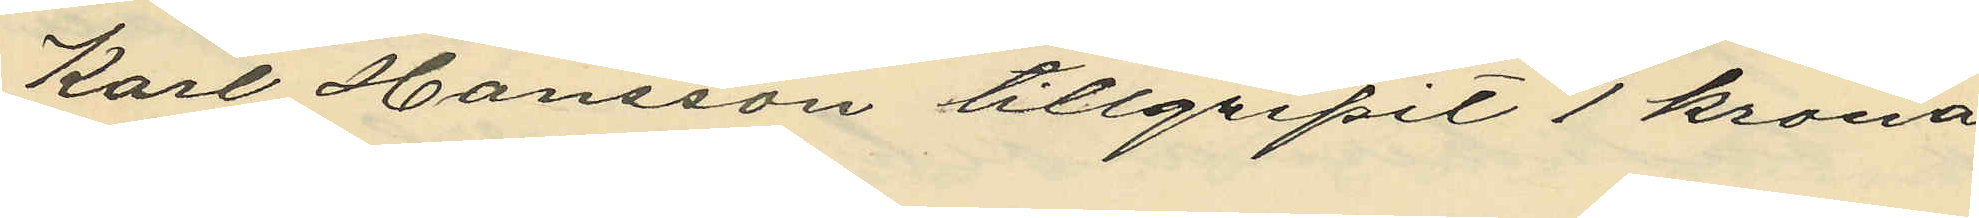Karl Hansson tillgripit 1 krona
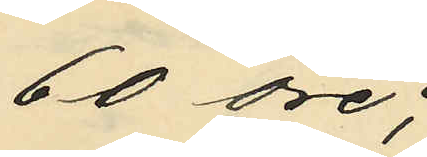60 öre;
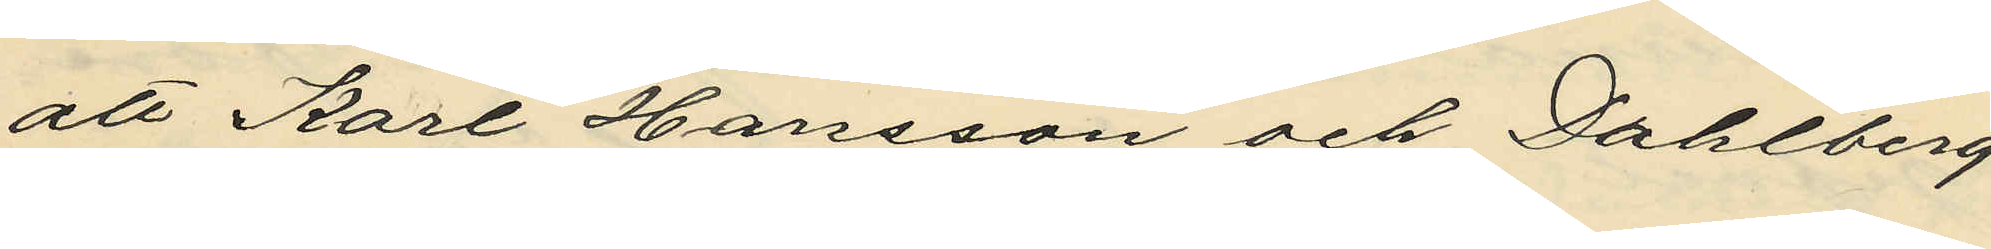att Karl Hansson och Dahlberg
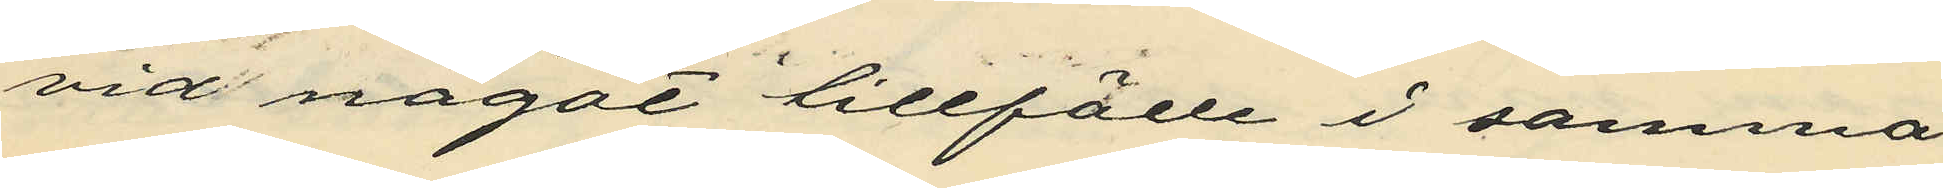vid något tillfälle i samma
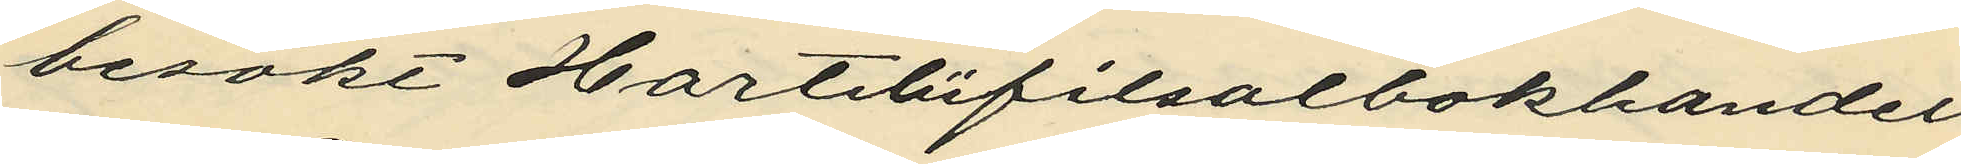besökt Harteliifilsalbokhandel
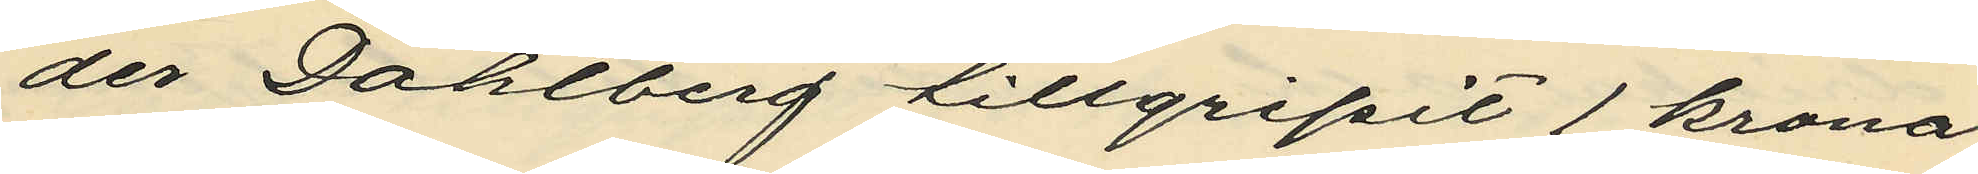der Dahlberg tillgripit 1 krona
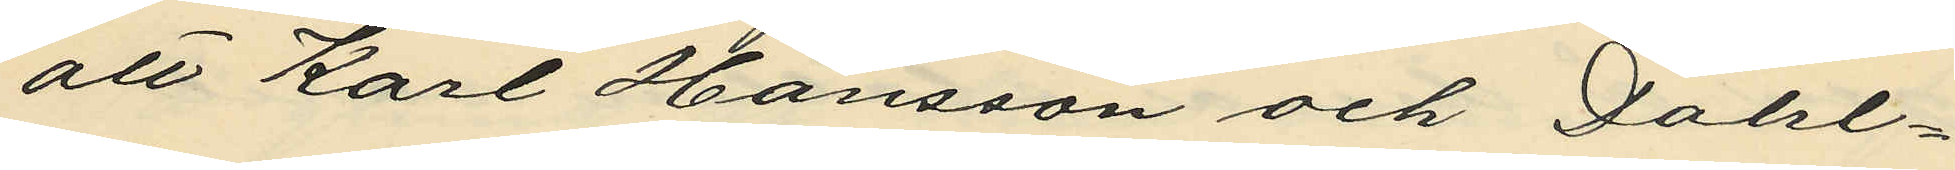att Karl Hansson och Dahl¬
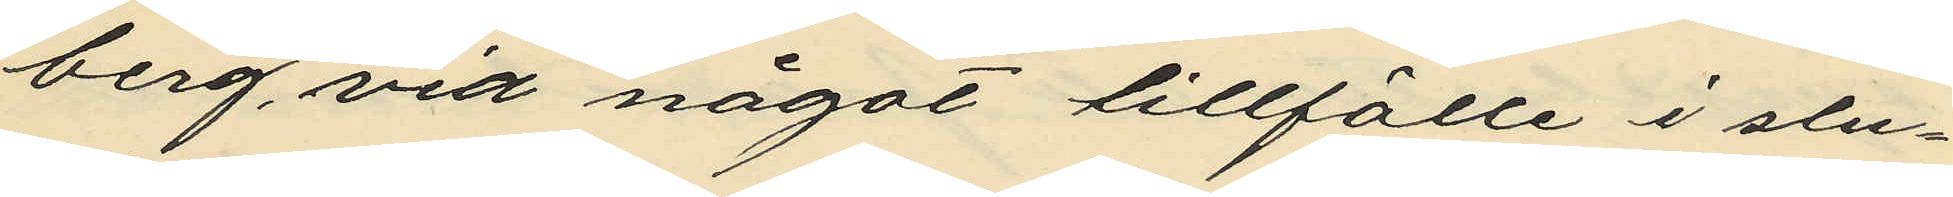berg, vid något tillfälle i slu¬
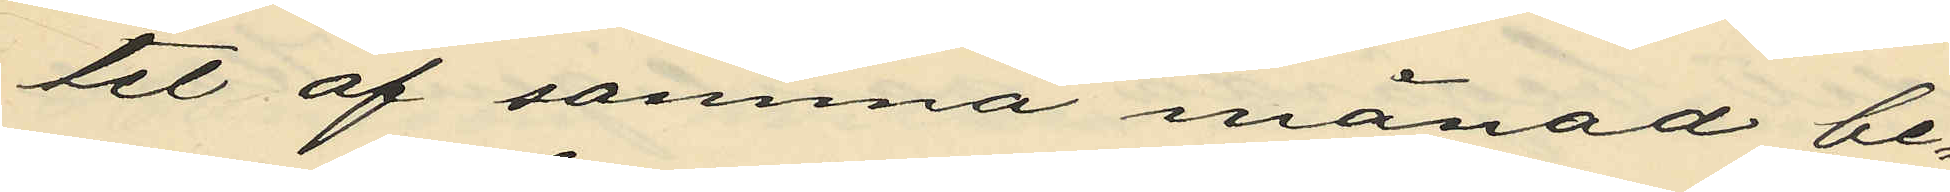tet af samma månad be¬
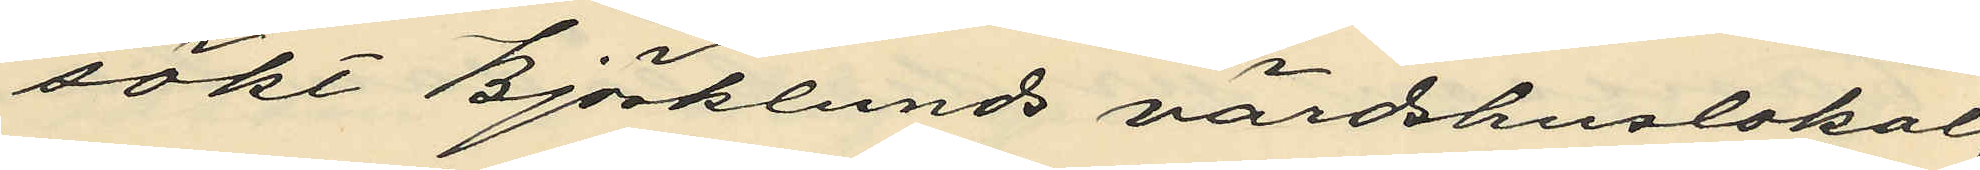sökt Björklunds värdshuslokal,
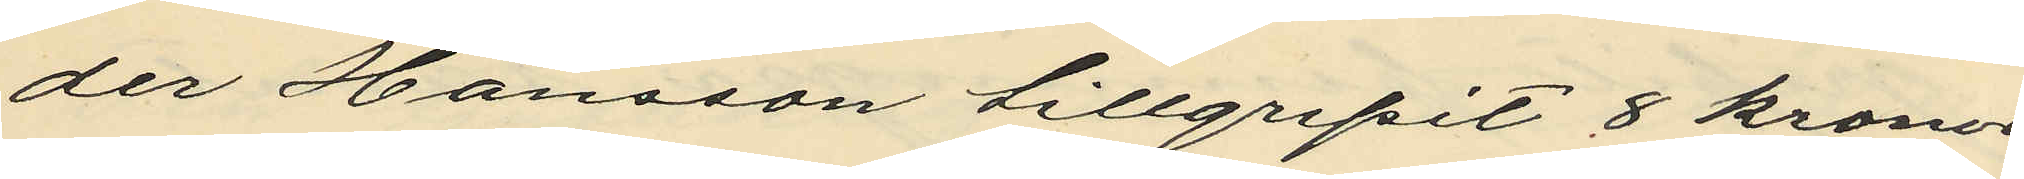der Hansson tillgripit 8 kronor
